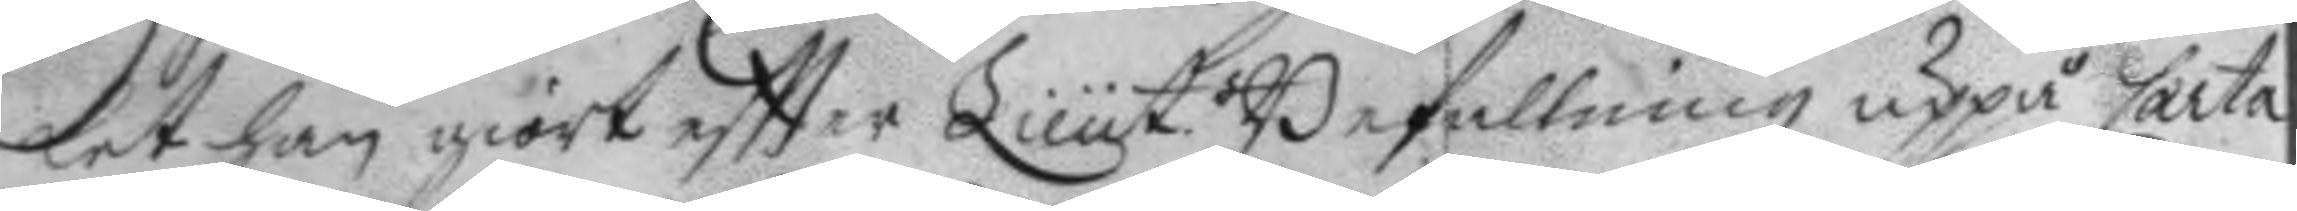ket han giort eftter Lieut.s Befallning uppå Carta
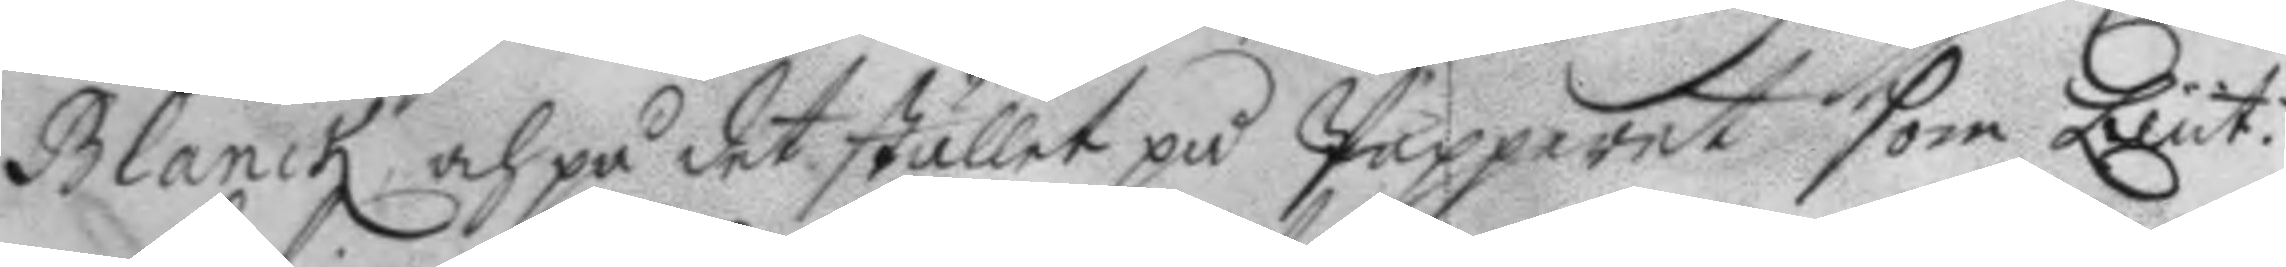Blanck, och på det stället på Papperet som Lieut.
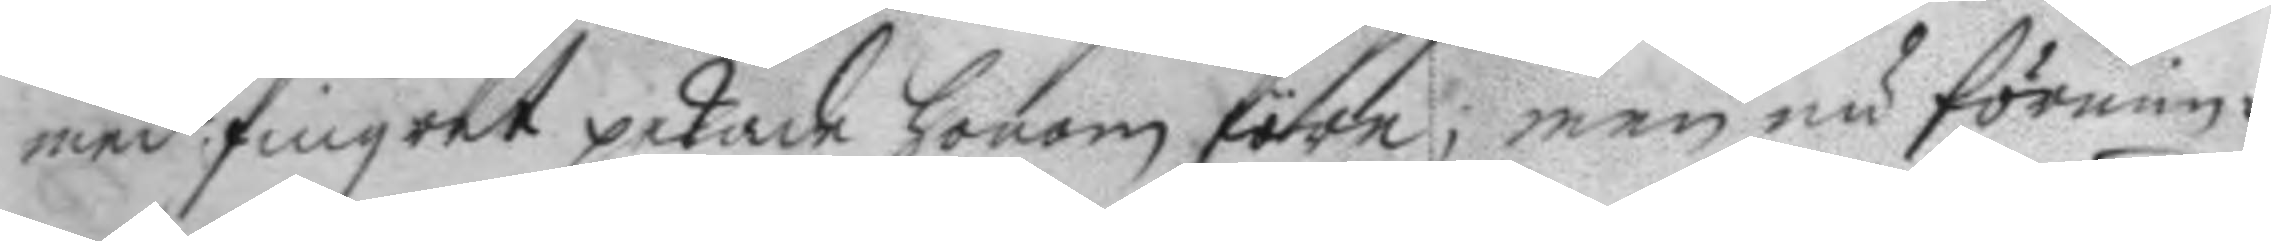med fingret pekade honom före, men nu förnim¬
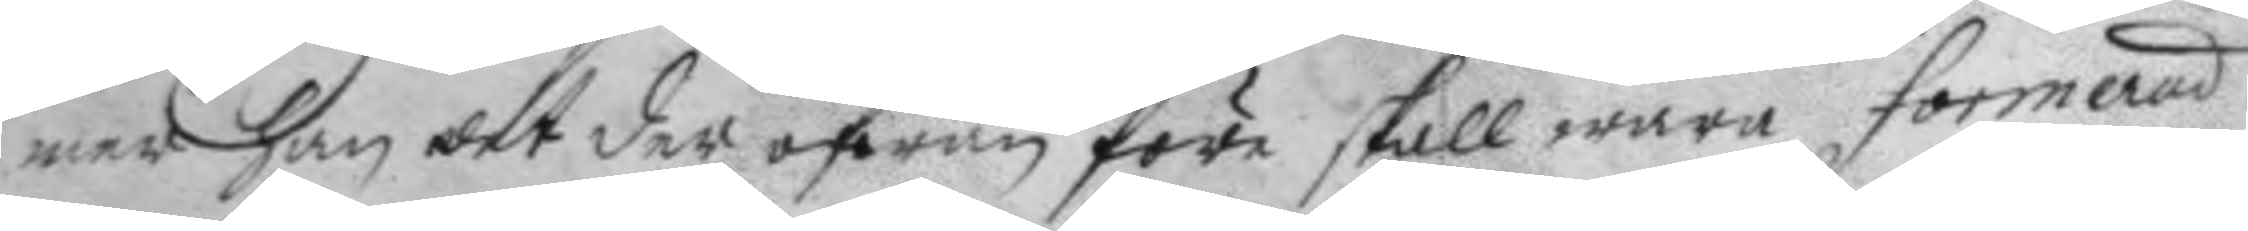mer han det der ofwan före skall wara formerad
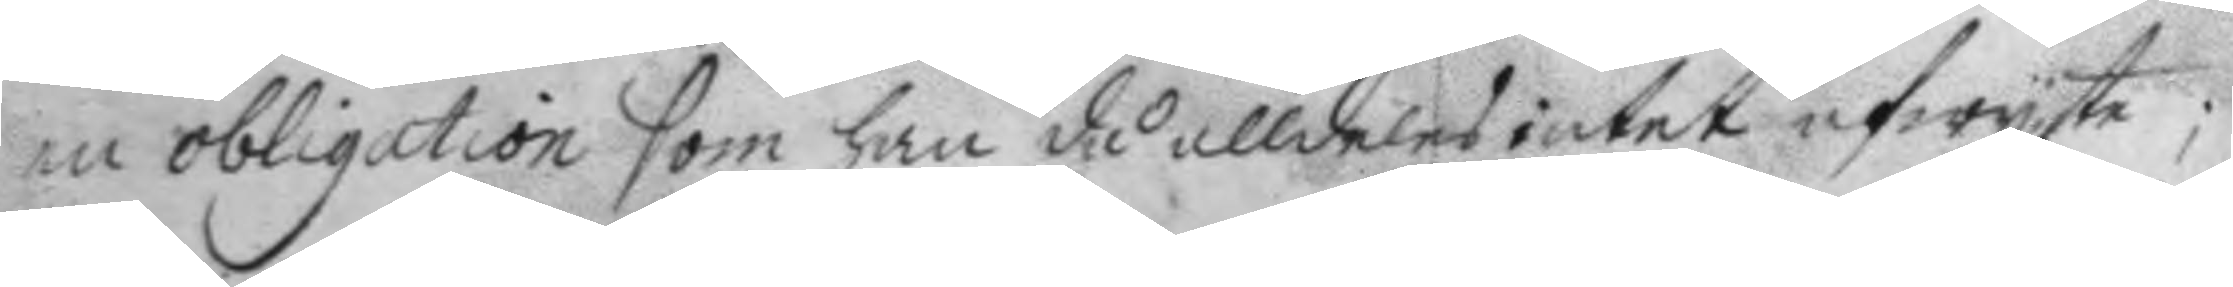en obligation som han då alldeles intet afwyta;
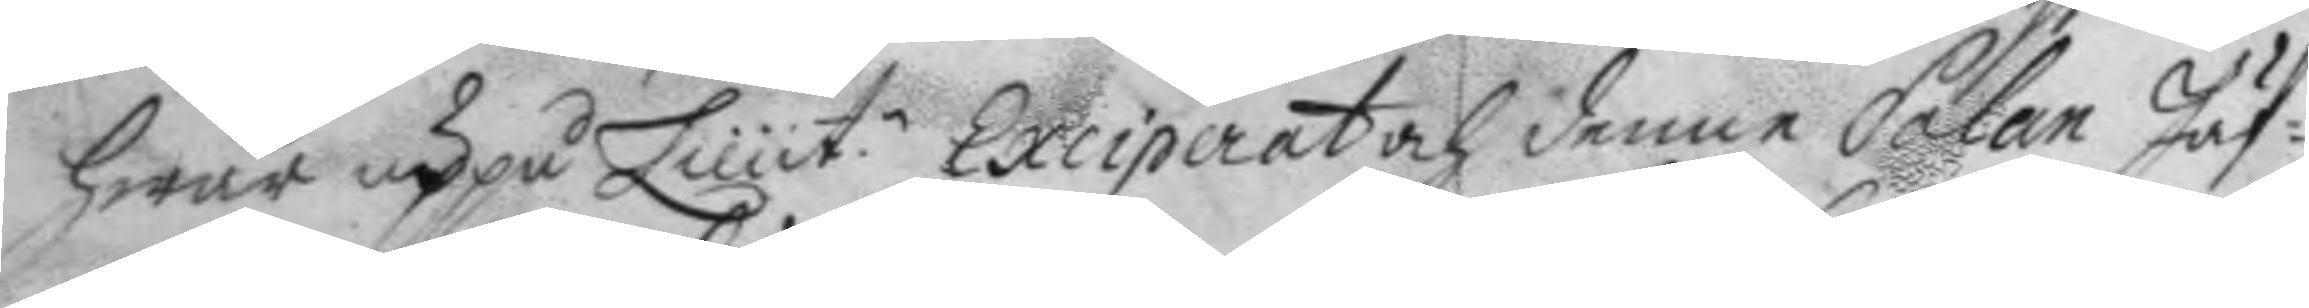hwar uppå Lieut.n Exciperat och denne Salan Jäf¬
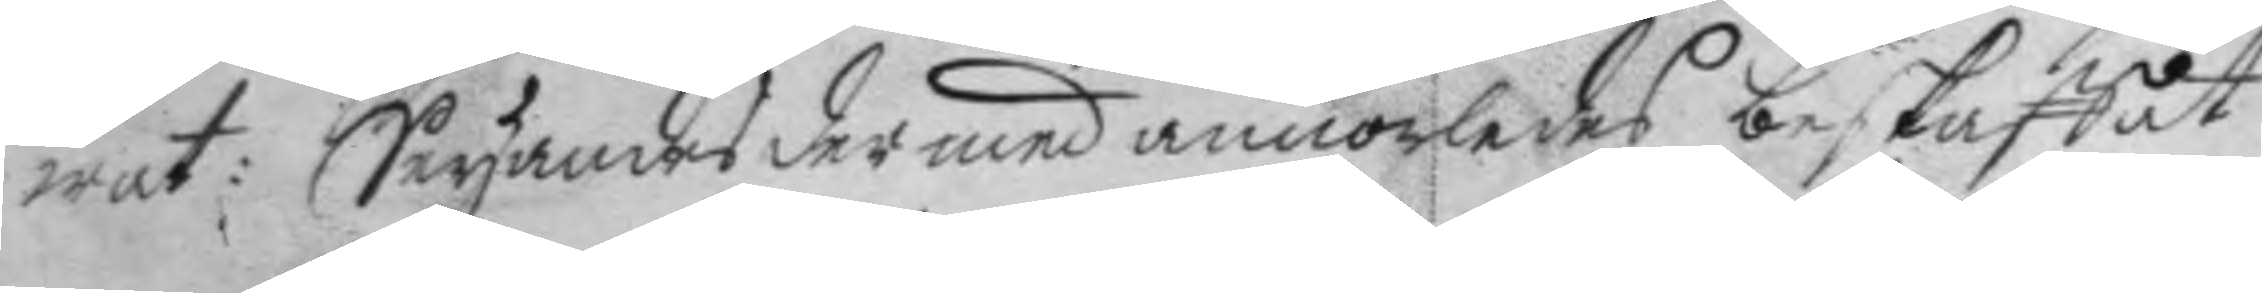wat: Seyandes der med annorledes beskaffat
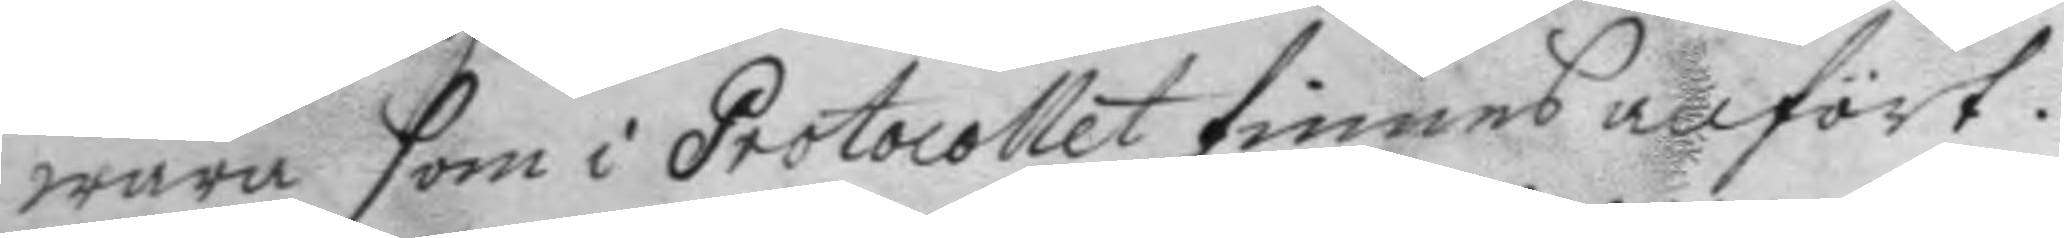wara som i Protocollet finnes anfört.
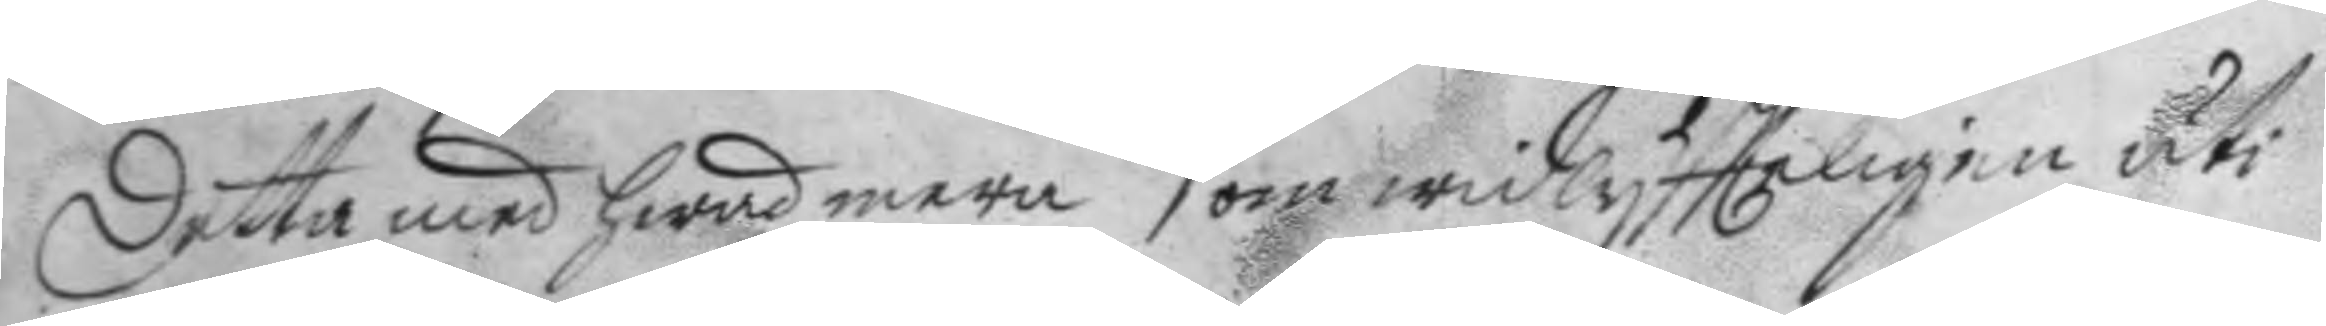detta med hwad mera som widlyftteligen uti
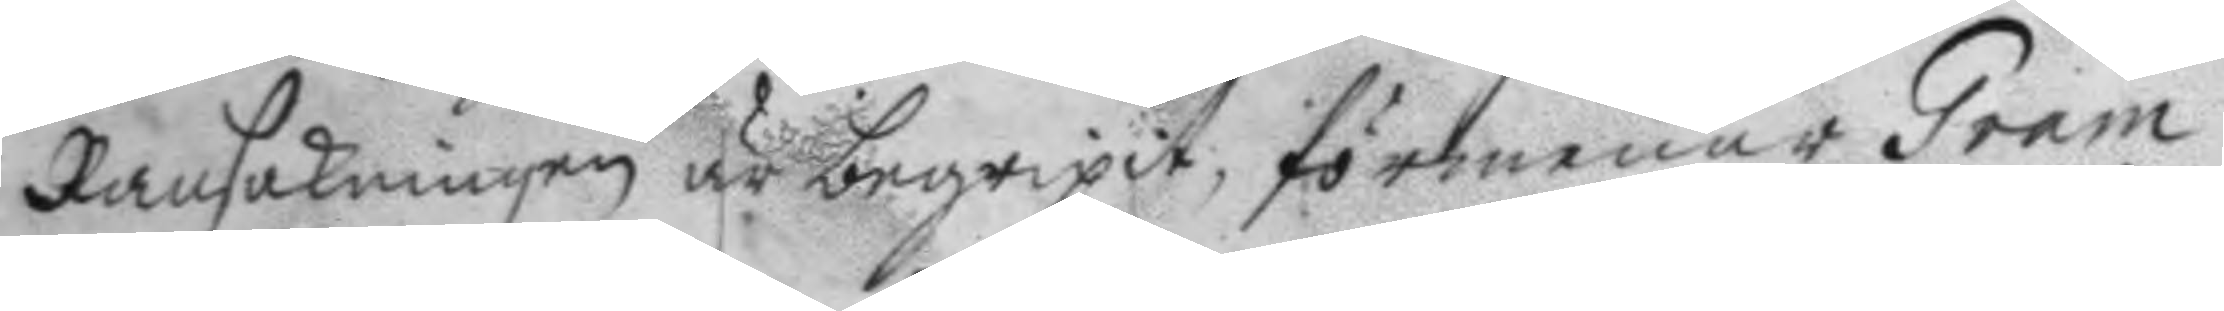Ransakningen är begripit; förmenar Gram
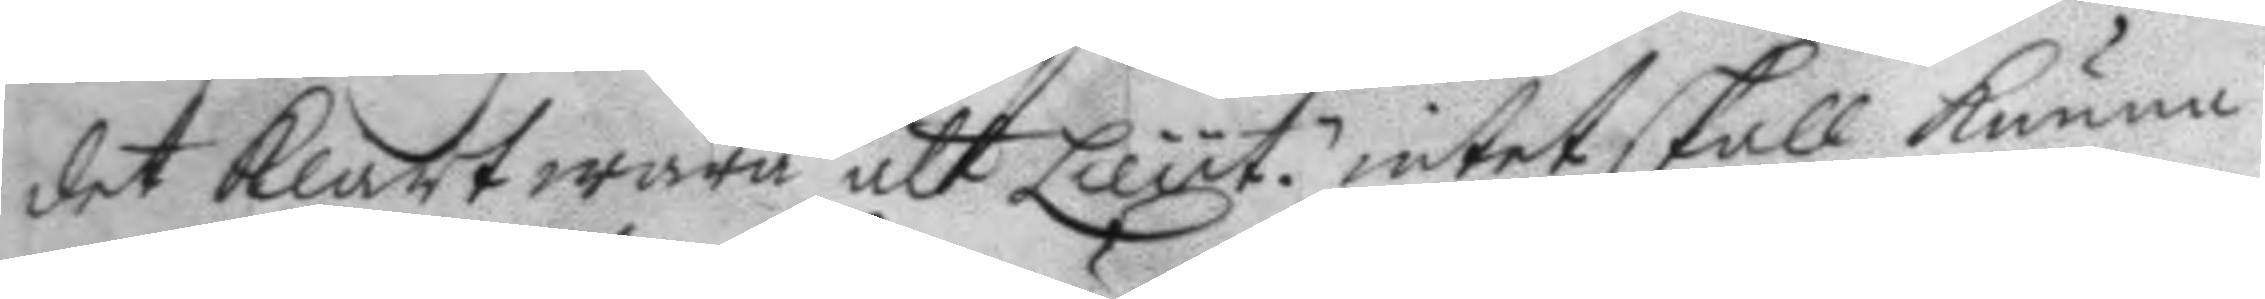det klart wara att Lieut.n intet skall kunna
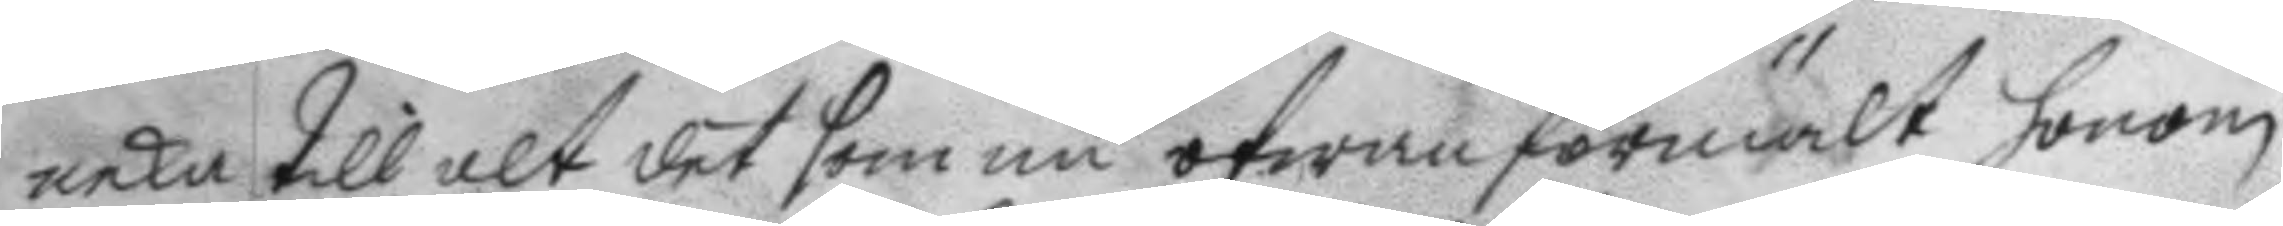neka till alt det som nu ofwan förestält honom
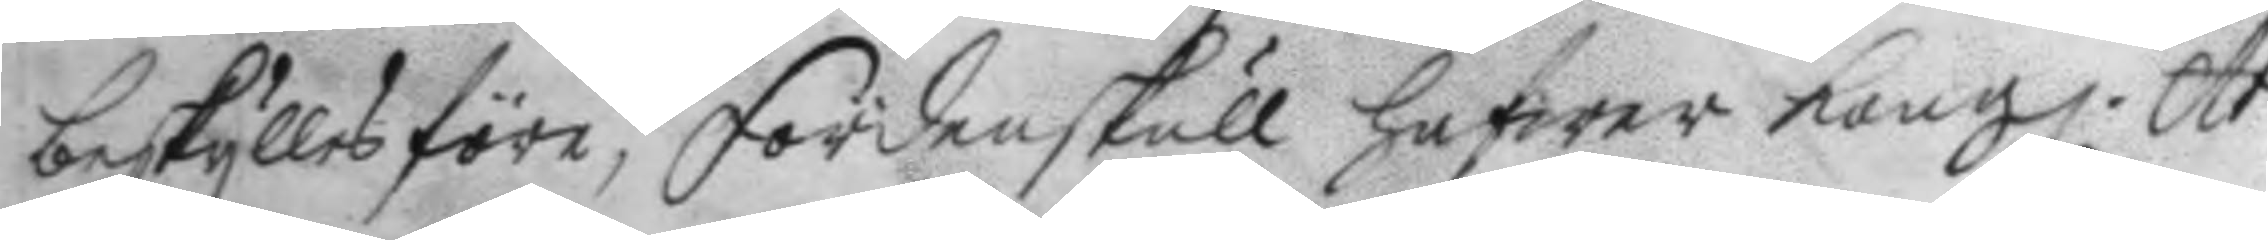beskylles före; fördenskull hafwer Kong. Ar¬
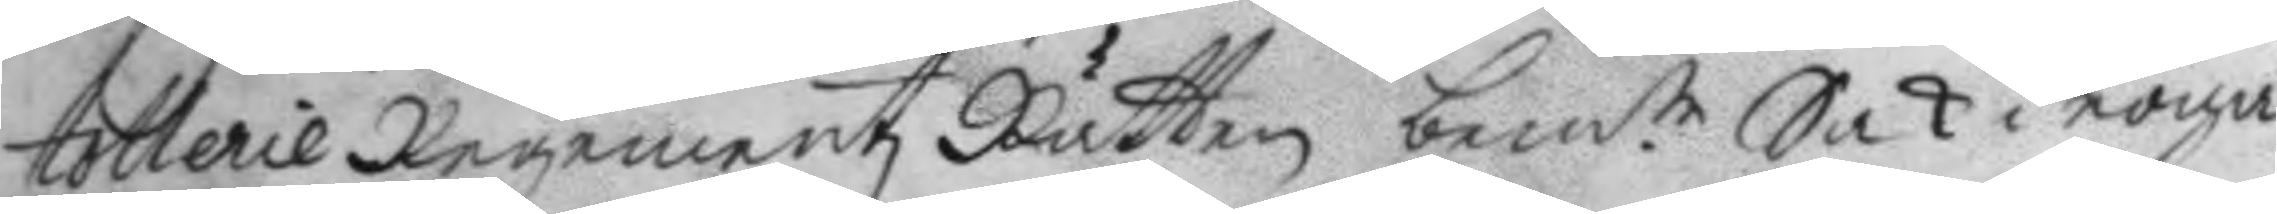tollerie Regementz Rätten bem.te Sak i noga
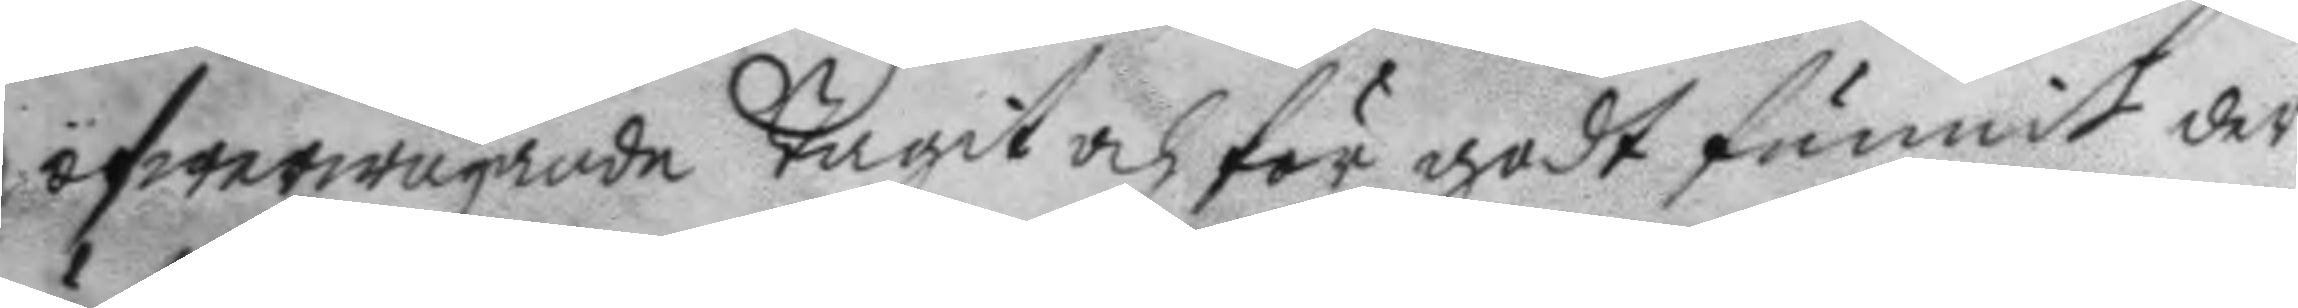öfwerwägande tagit och för godt funnit der¬
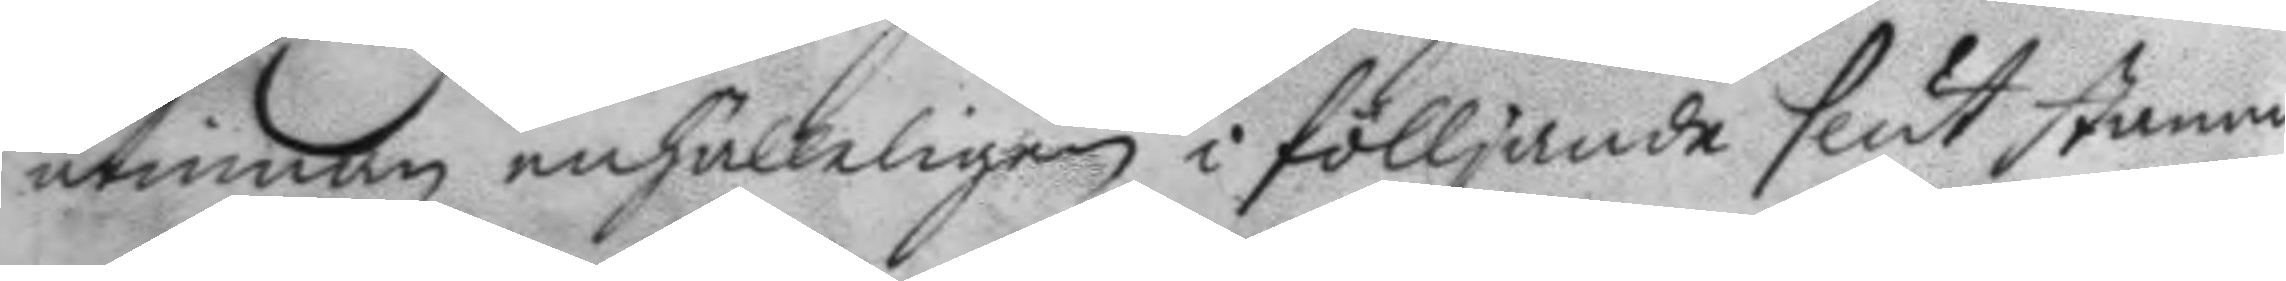utinnan enhälleligen i fölljande slut stanna.
